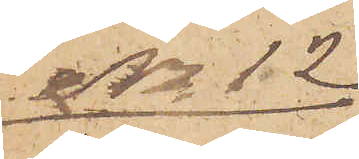No 12
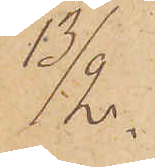13/2.
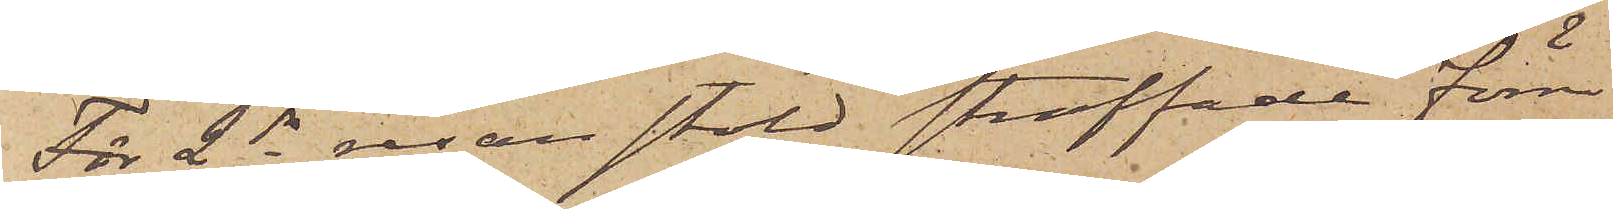För 2dra resan stöld straffade förre
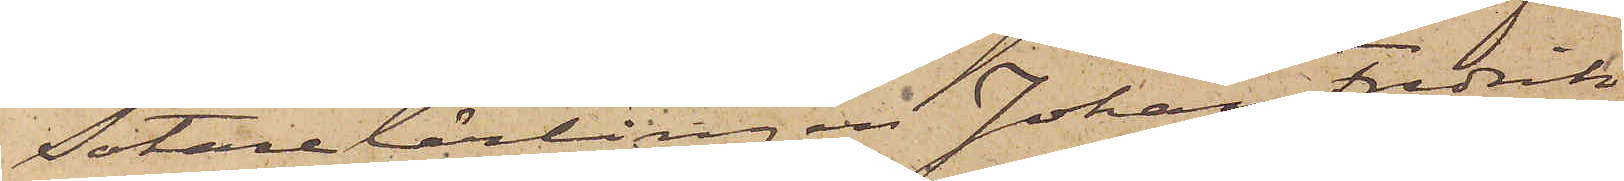Sotarelärlingen Johan Fredrik
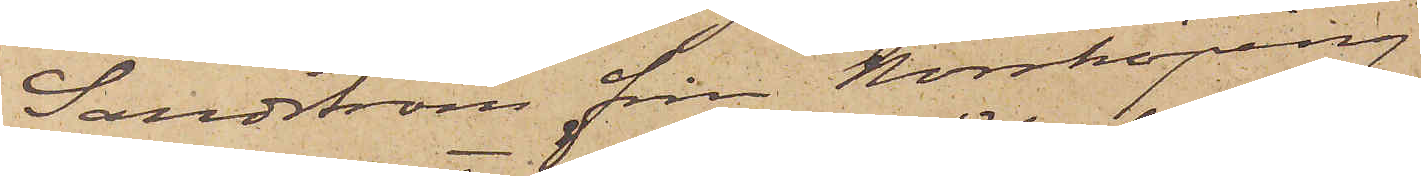Sandström från Norrköping
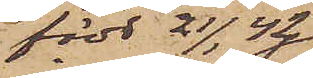född 21/1 42
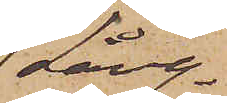(Lång¬
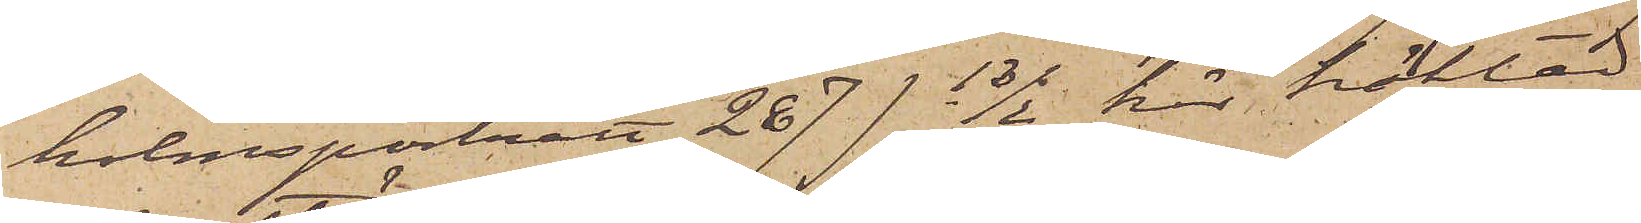holmsporträtt 287) 13/2 här häktad
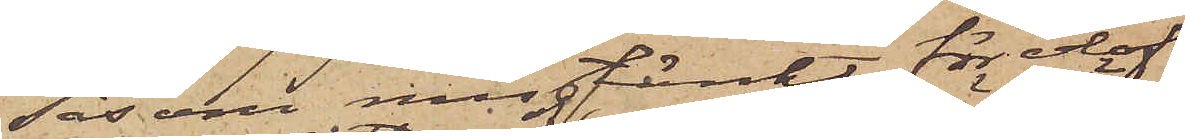såsom misstänkt för olof¬
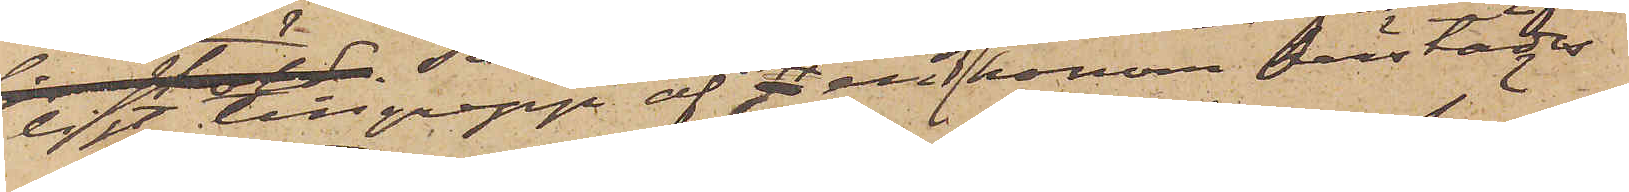ligt tillgrepp af en af honom härstädes
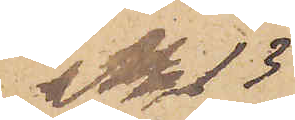No 13
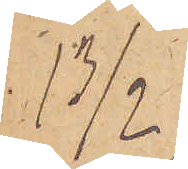13/2
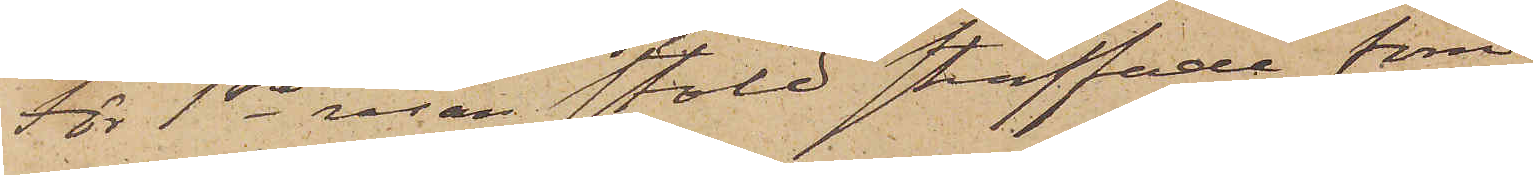För 1sta resan stöld straffade förre
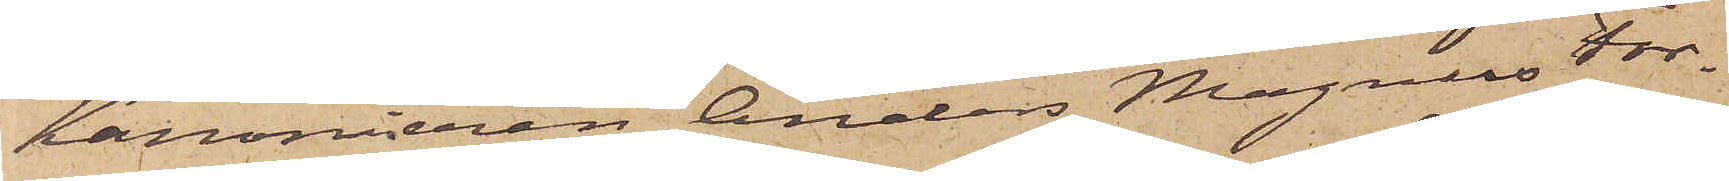Kanonieren Anders Magnus For¬
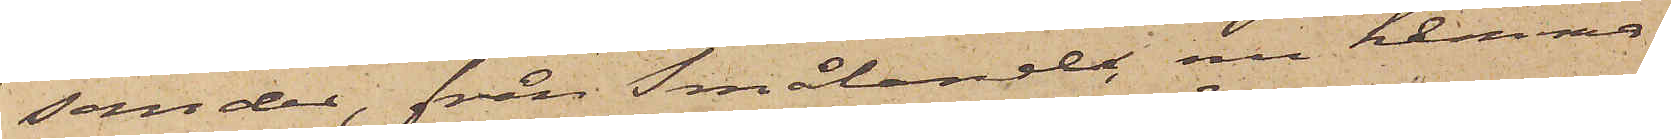sander, från Småland, nu hemma¬
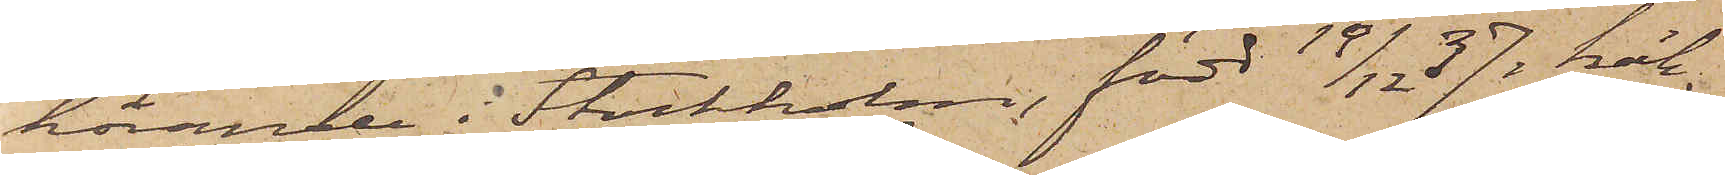hörande i Stockholm, född 19/12  37, häk¬
